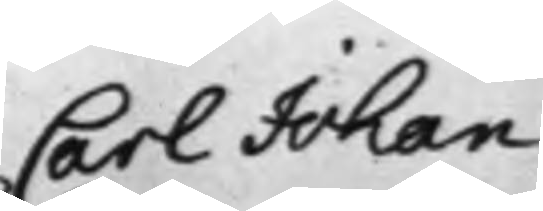Carl Johan
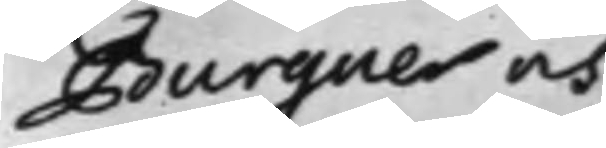Burguer och
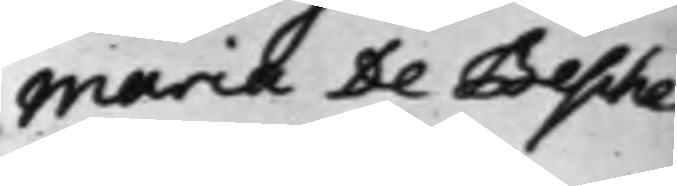Maria De Besche
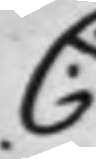C: 
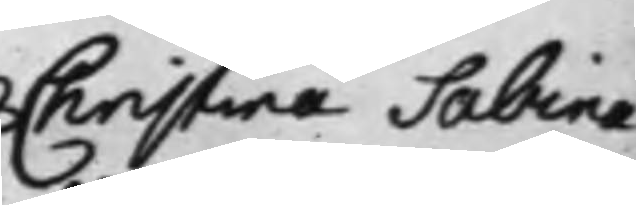Christina Sabina
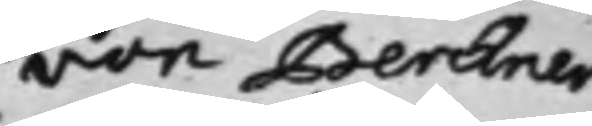von Berchner
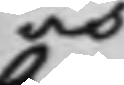och
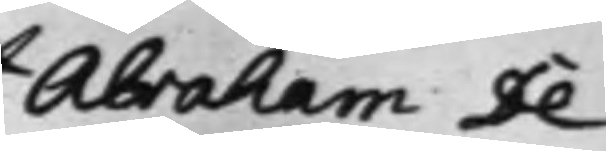Abraham De
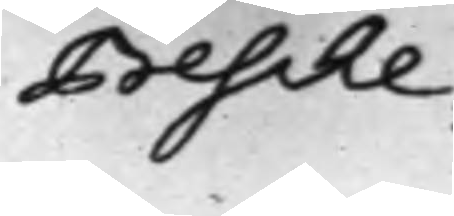Besche ./.
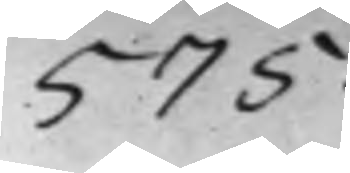575.
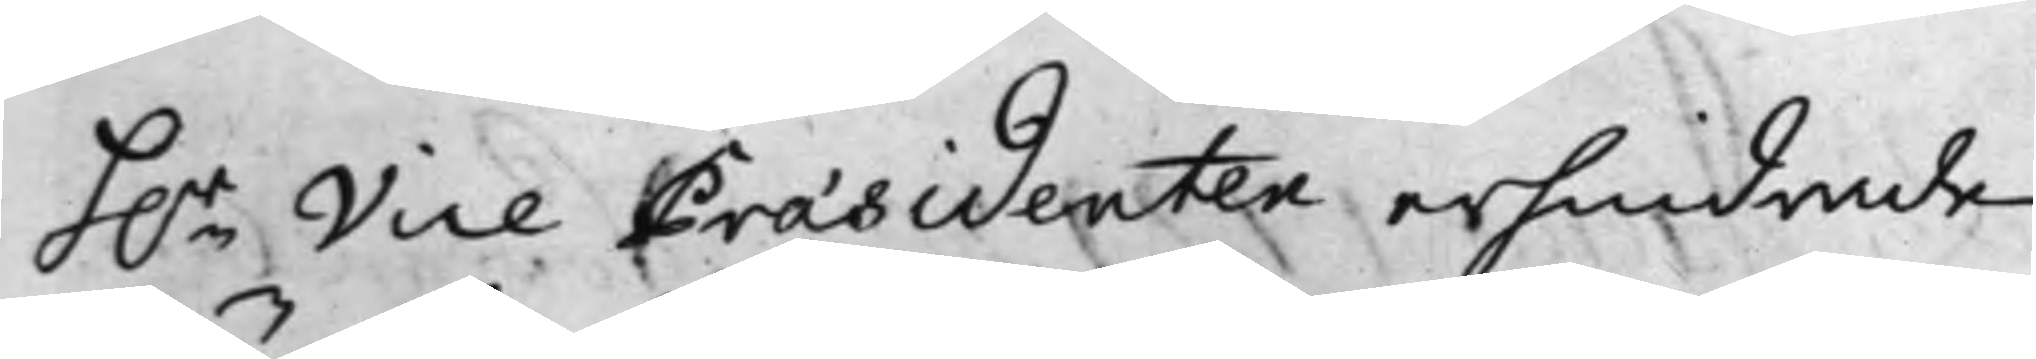h.r Vice Præsidenten erhindrade
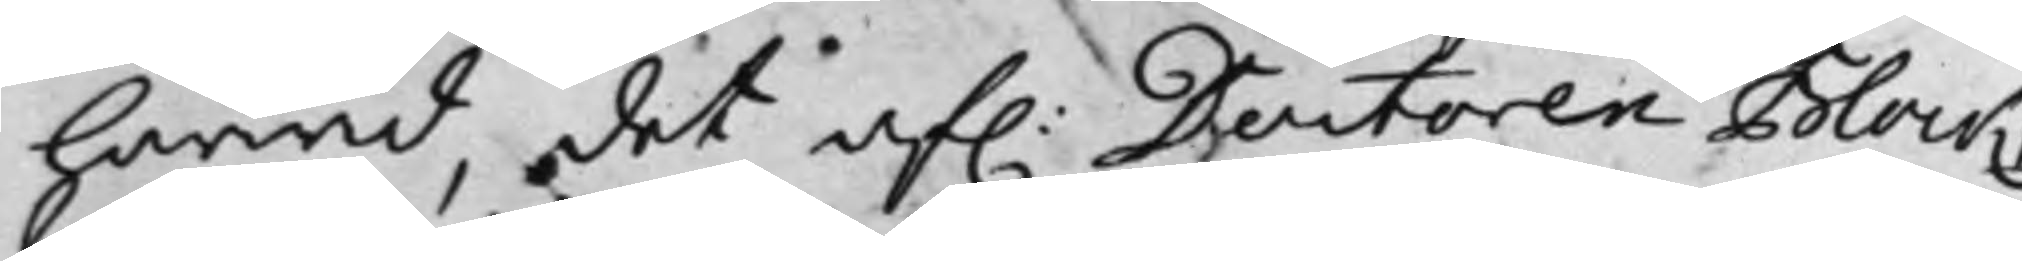härwid, det af. Doctoren Block,
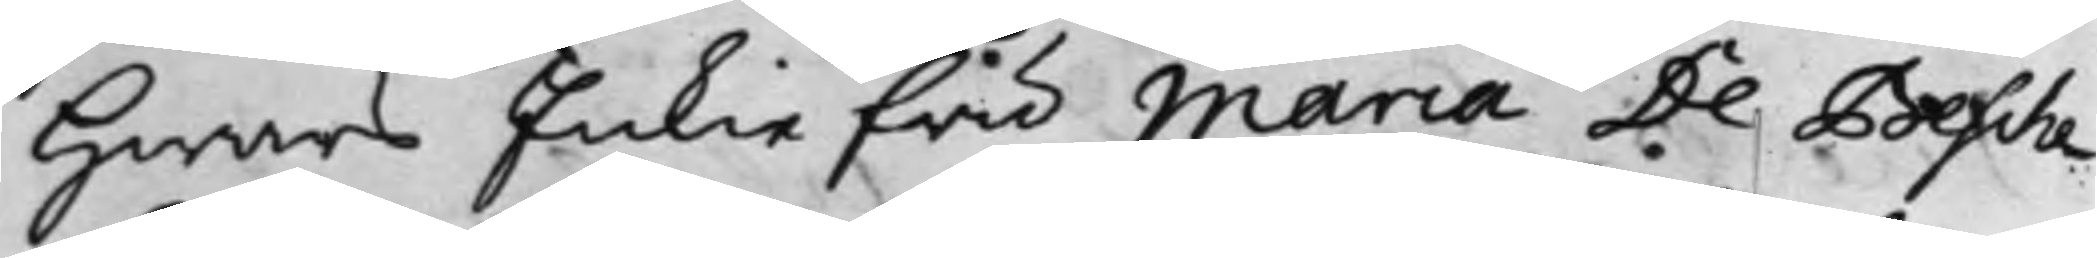Hwars Enkie fru Maria De Besche
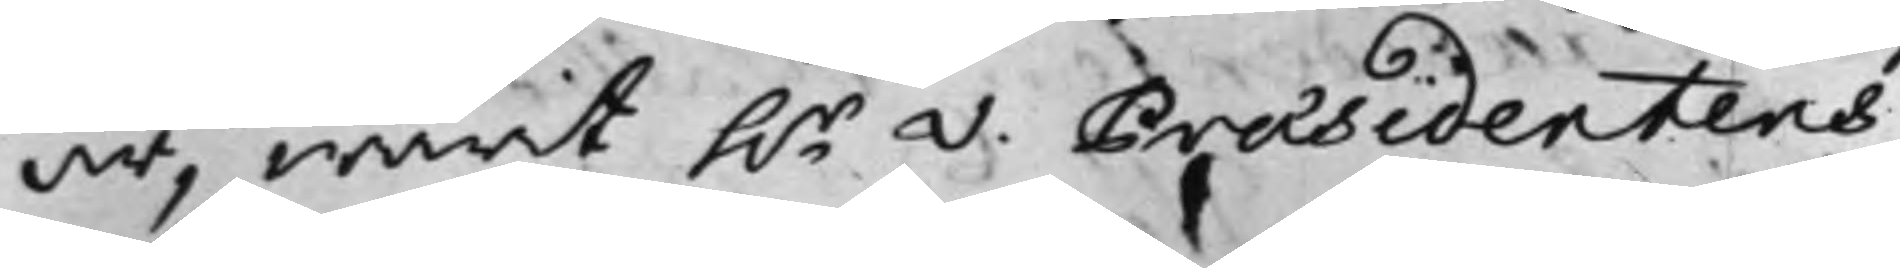är, warit h.r V. Præsidentens
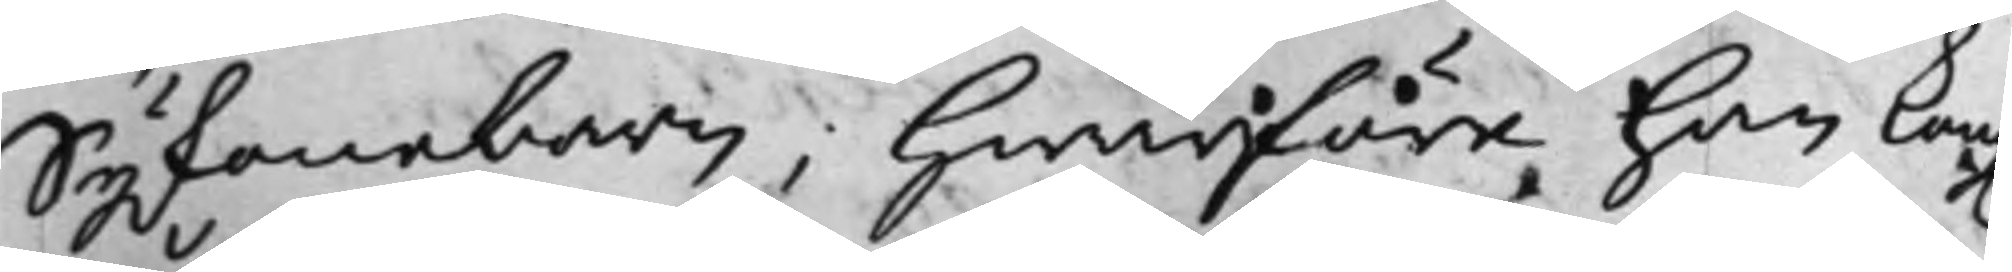Syskonebarn; Hwarföre han Kong.
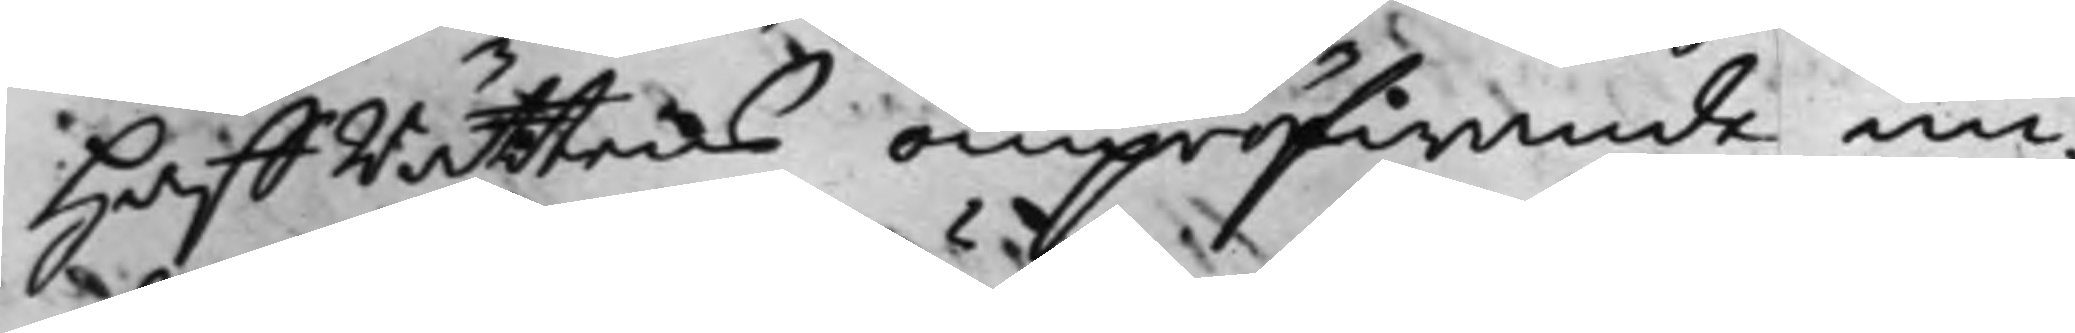HåffRättens ompröfwande un¬
